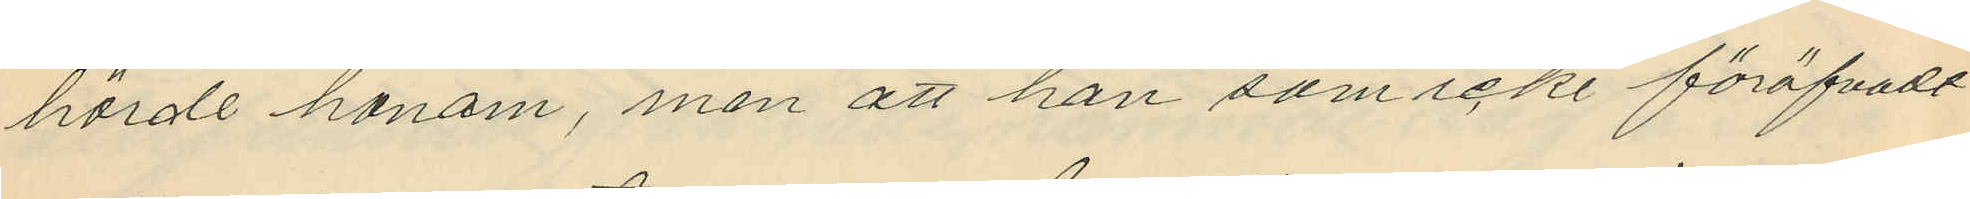hörde honom, men att han som icke föröfvadt
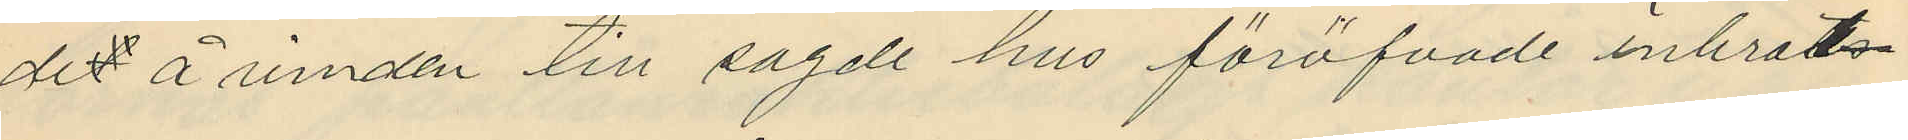det å vinden till sagde hus föröfvade inbrots¬
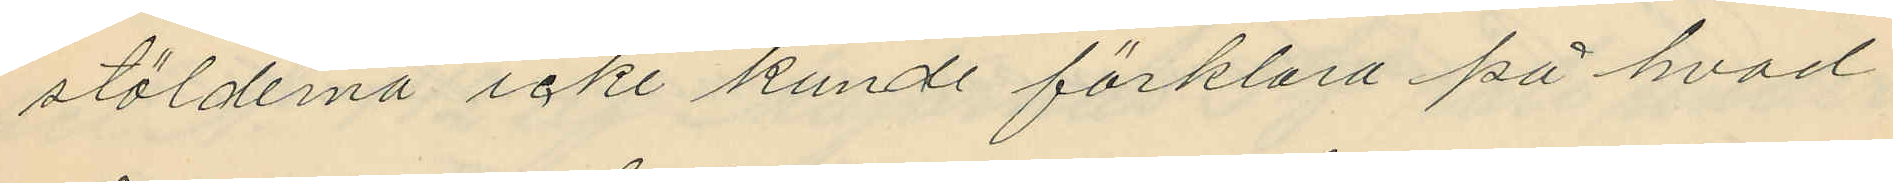stölderna icke kunde förklara på hvad
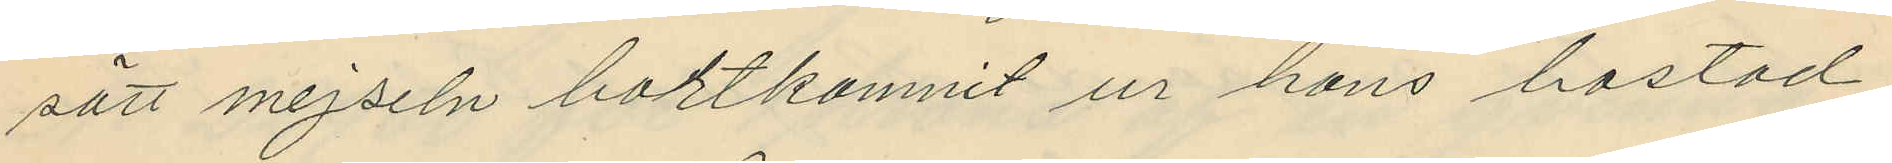sätt mejseln bortkommit ur hans bostad;
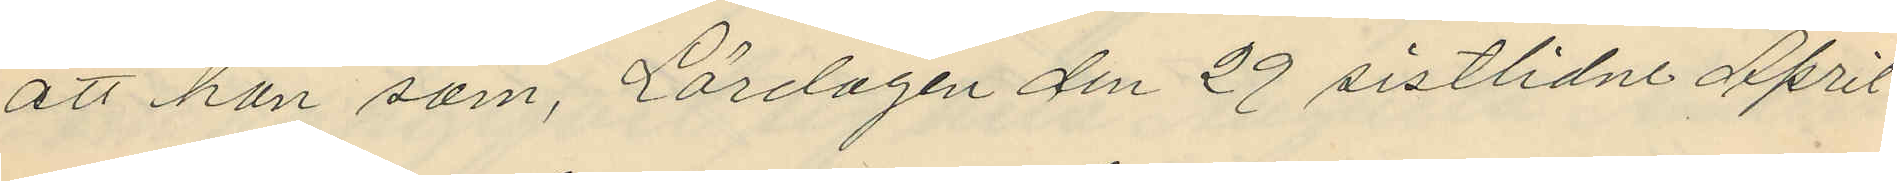att han som, Lördagen den 29 sistlidne April
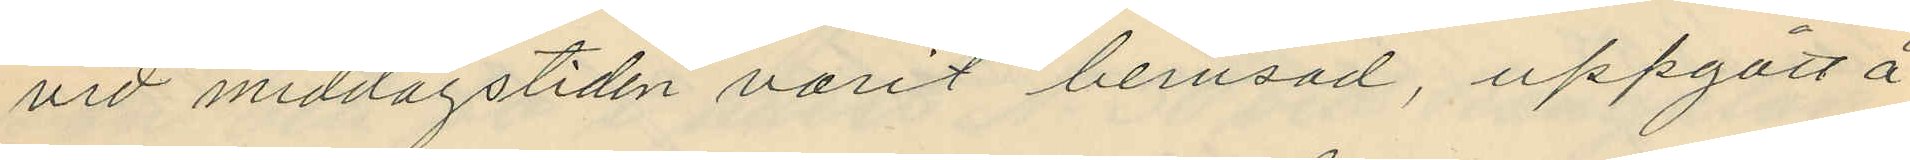vid middagstiden varit berusad, uppgått å
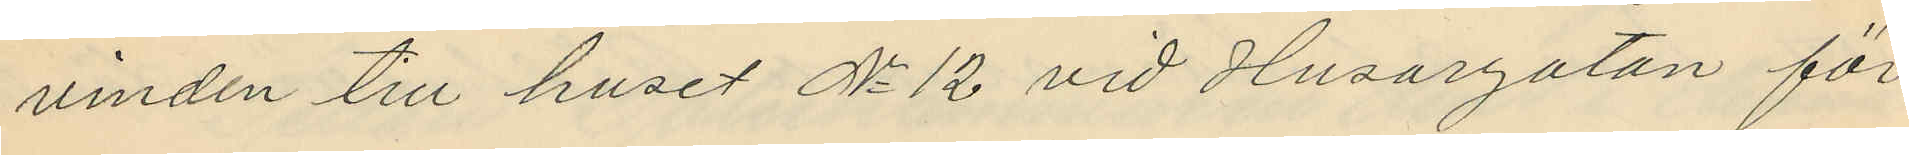vinden till huset No 12 vid Husargatan för
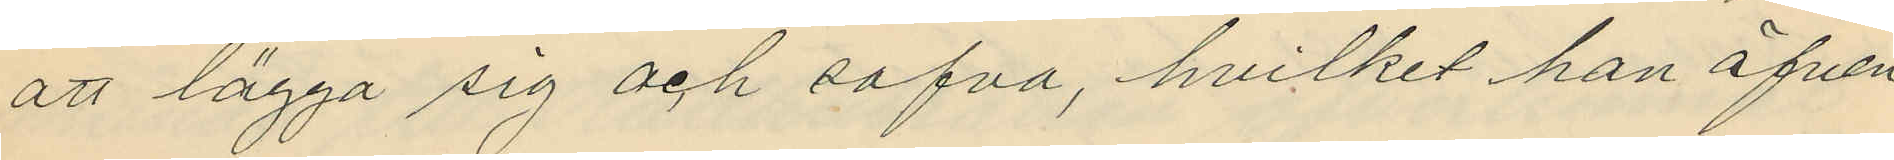att lägga sig och sofva, hvilket han äfven
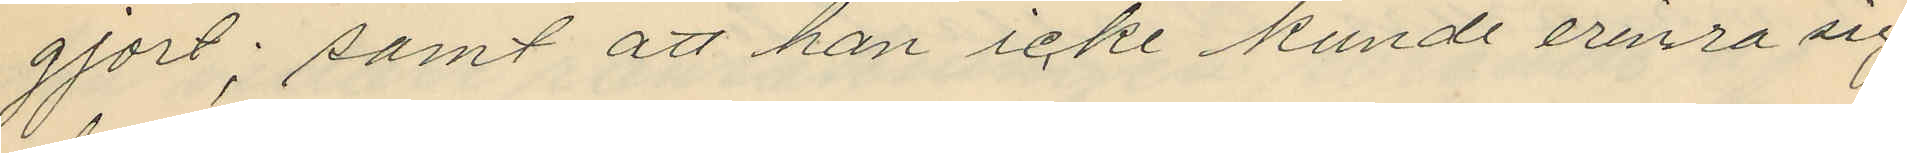gjort; samt att han icke kunde erinra sig
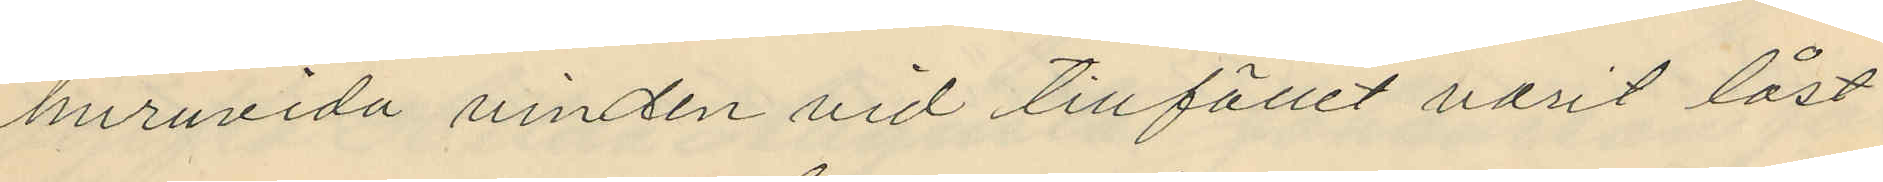huruvida vinden vid tillfället varit låst
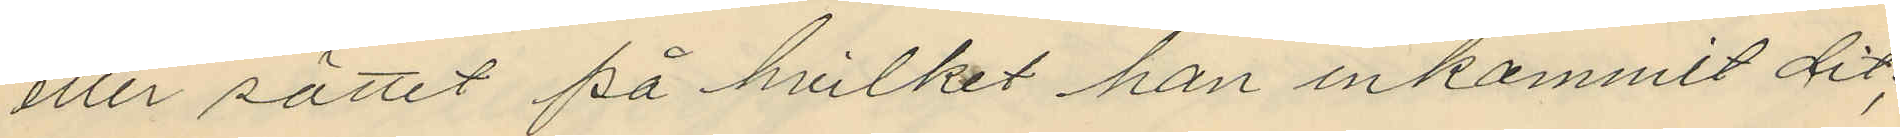eller sättet på hvilket han inkommit dit;
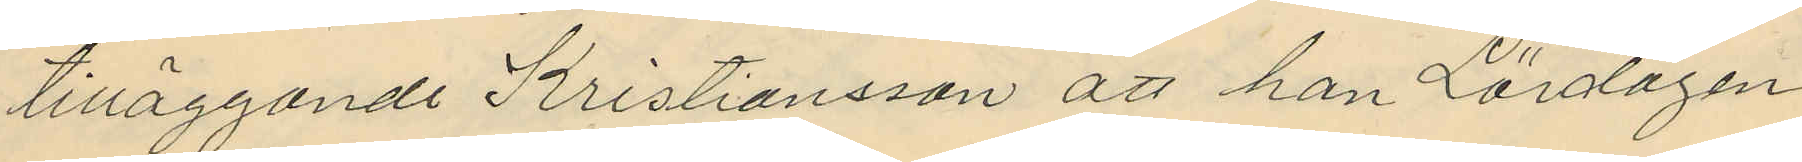tilläggande Kristiansson att han Lördagen
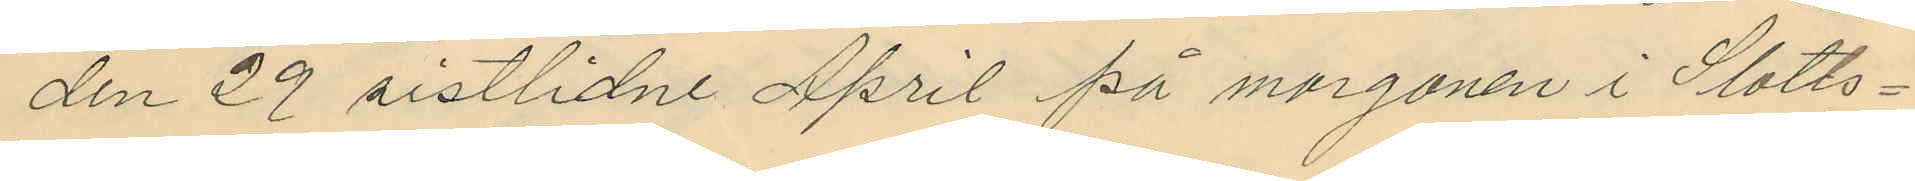den 29 sistlidne April på morgonen i Slotts¬
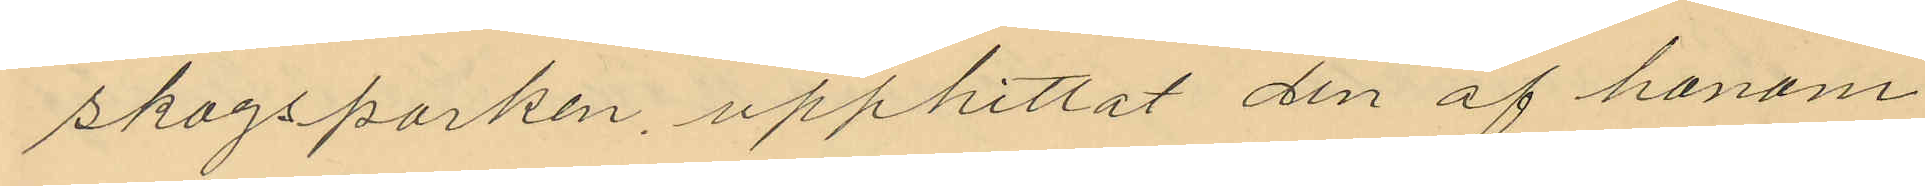skogsparken, upphittat den af honom
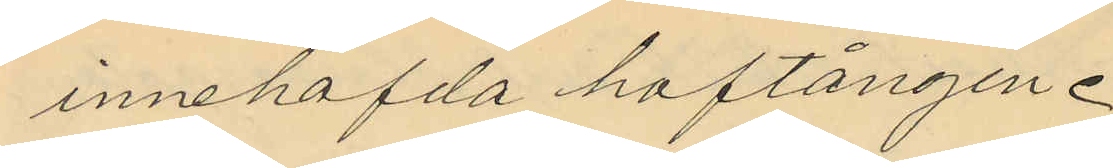innehafda hoftången.
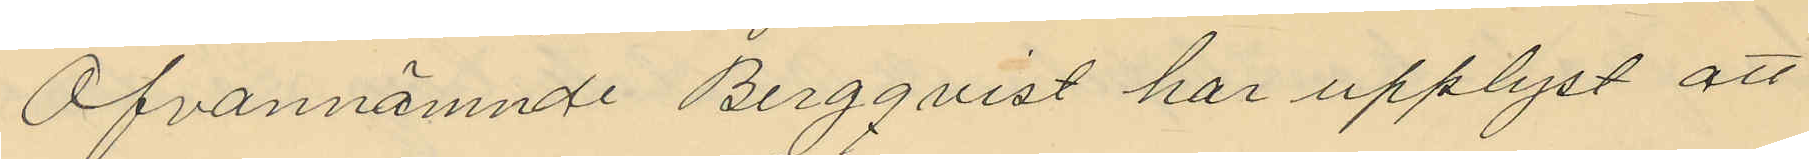Ofvannämnde Bergqvist har upplyst att
